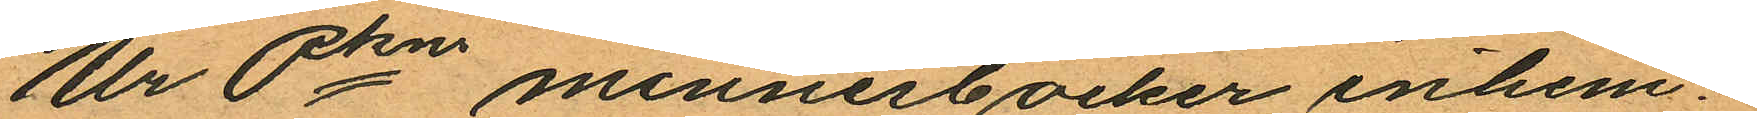Ur Pkn minnesböcker inhem¬
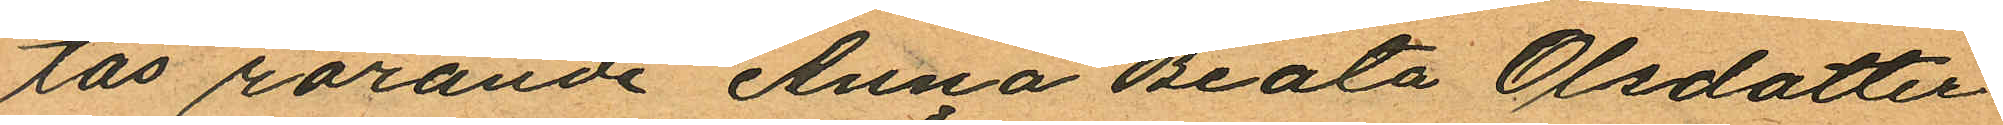tas rörande Anna Beata Olsdotter
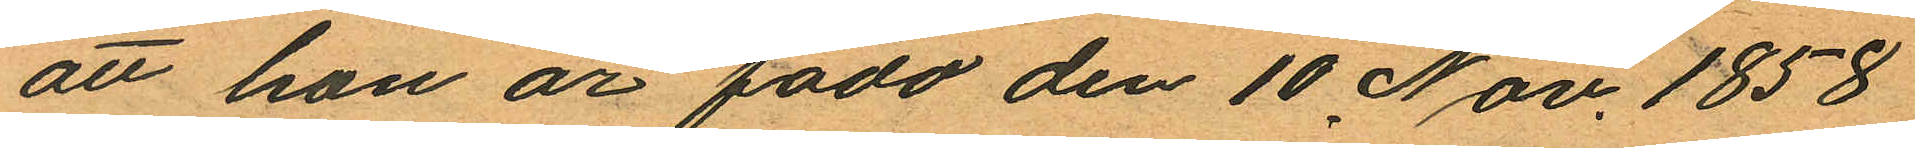att hon är född den 10 Nov. 1858
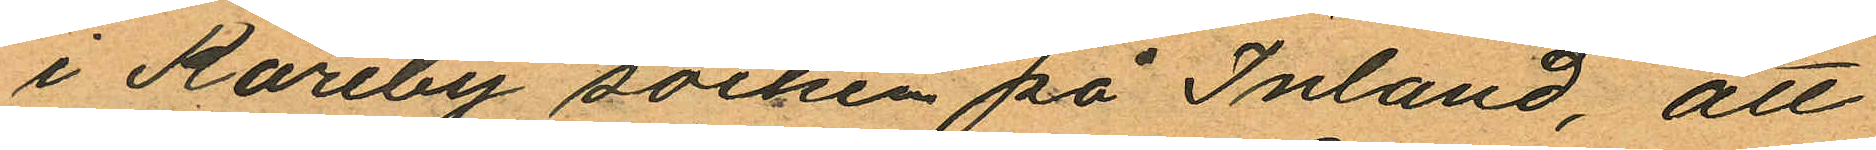i Kareby socken på Inland, att
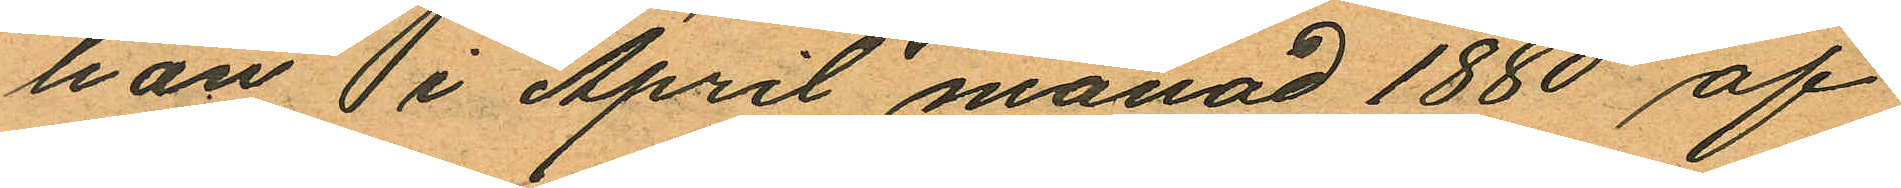hon  i April månad 1880 af
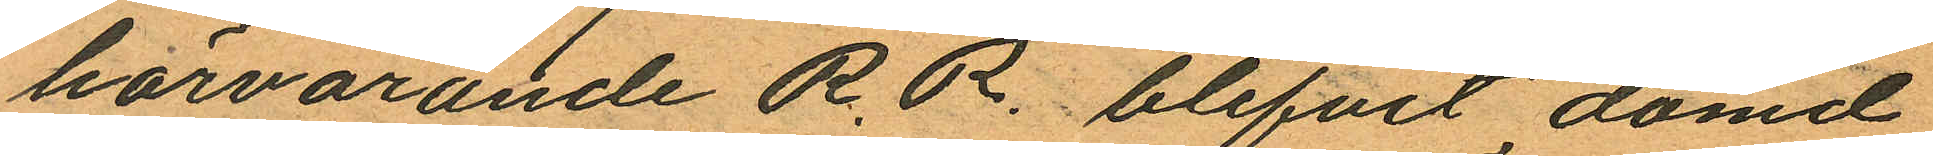härvarande R.R. blifvit dömd
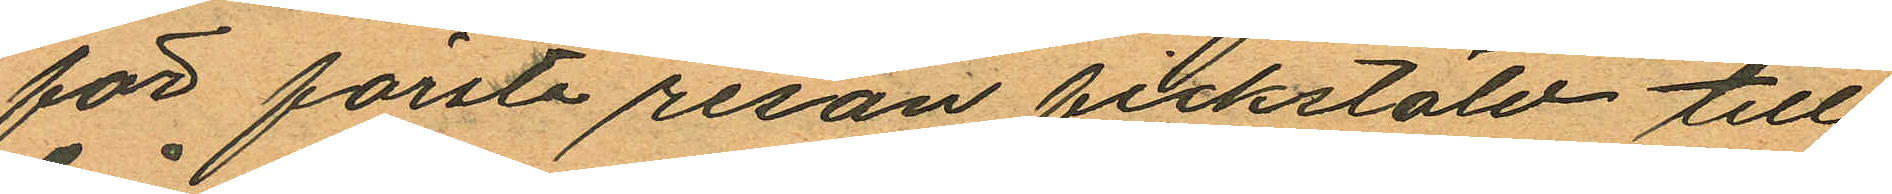för första resan fickstöld till
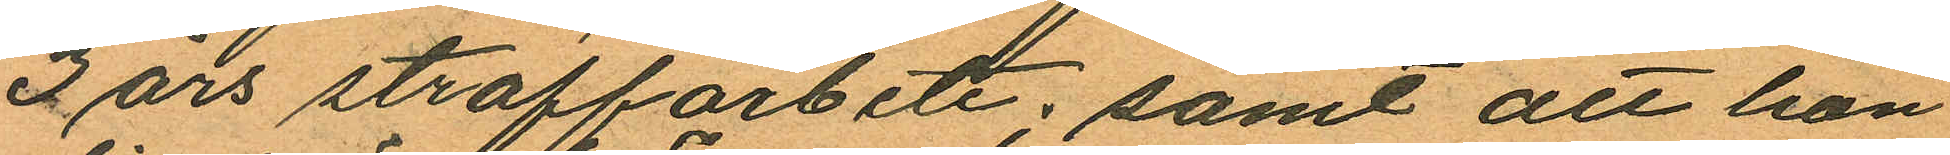3 års straffarbete; samt att hon
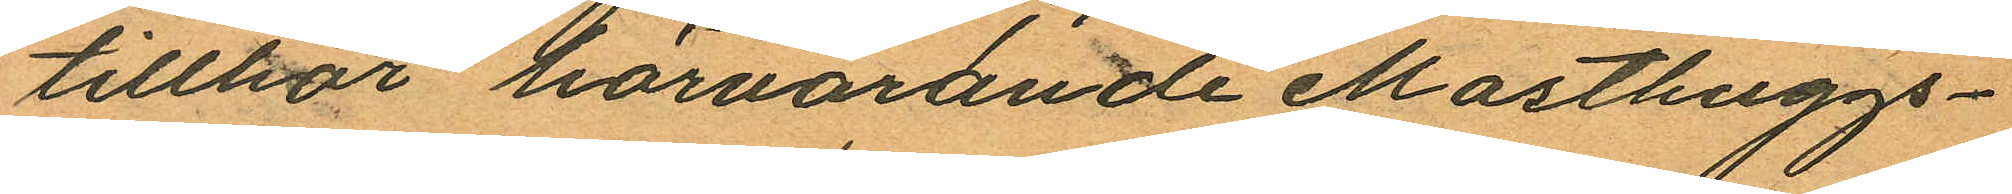tillhör härvarande Masthuggs¬
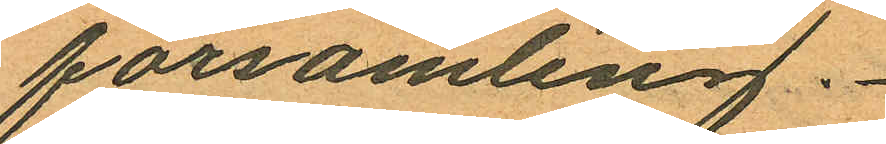församling.
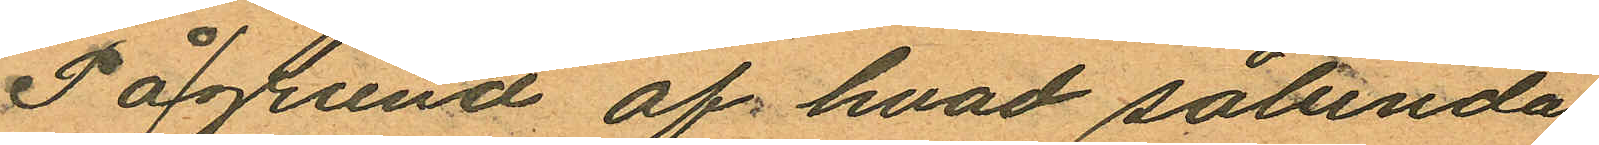På grund af hvad sålunda
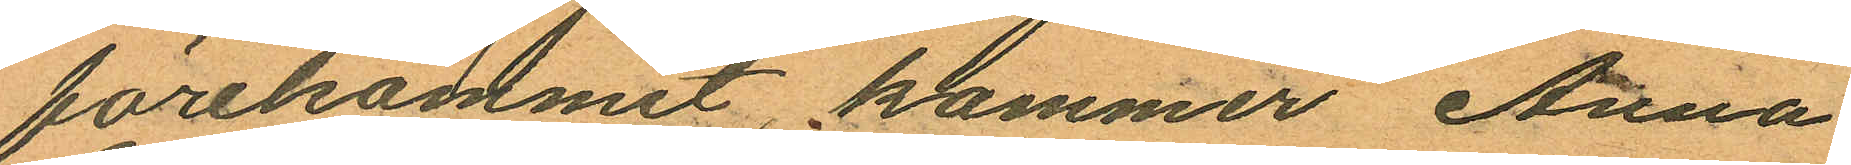förekommit, kommer Anna
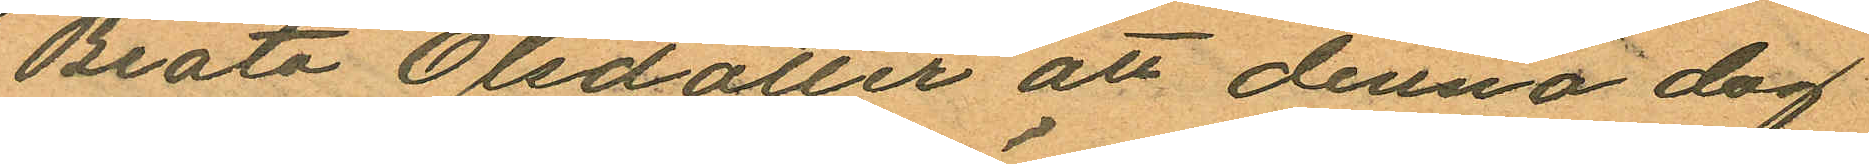Beata Olsdotter att denna dag
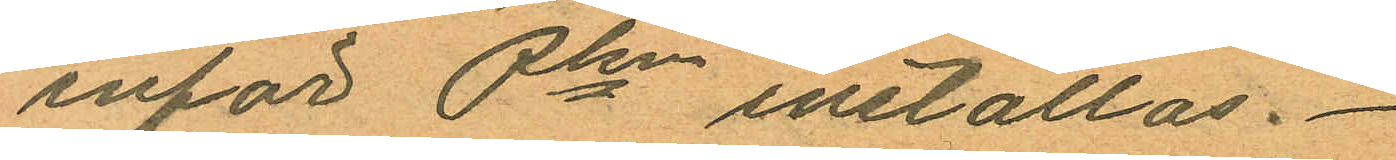inför Pkn inställas.
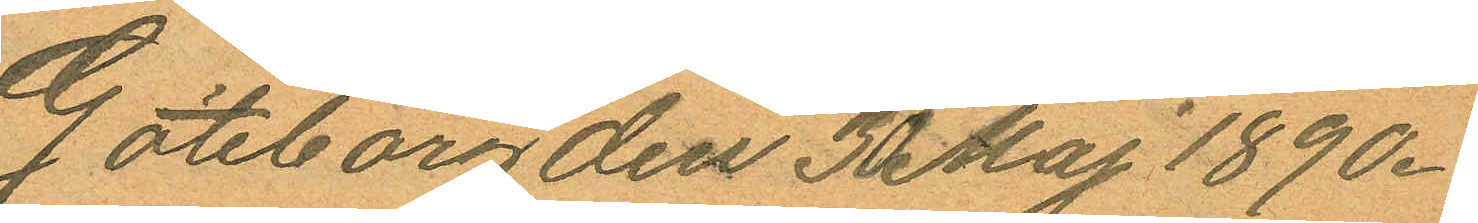Göteborg den 30 Maj 1890.
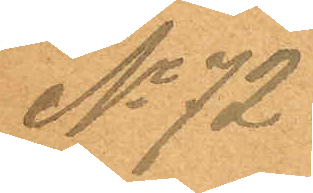No 72.
